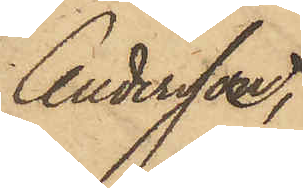Andersson,
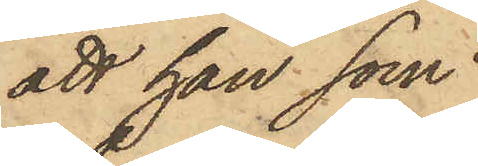att han som
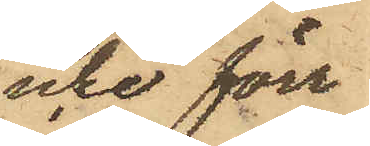icke förr
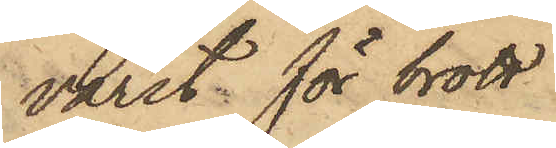varit för brott
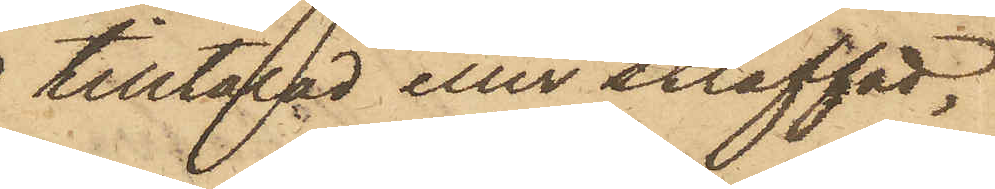tilltalad eller straffad,
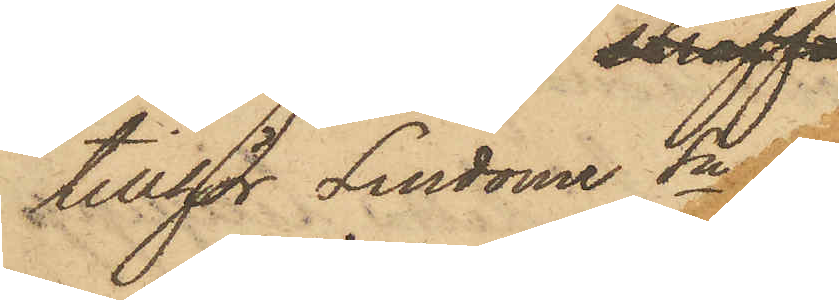tillhör Lindome Sn.
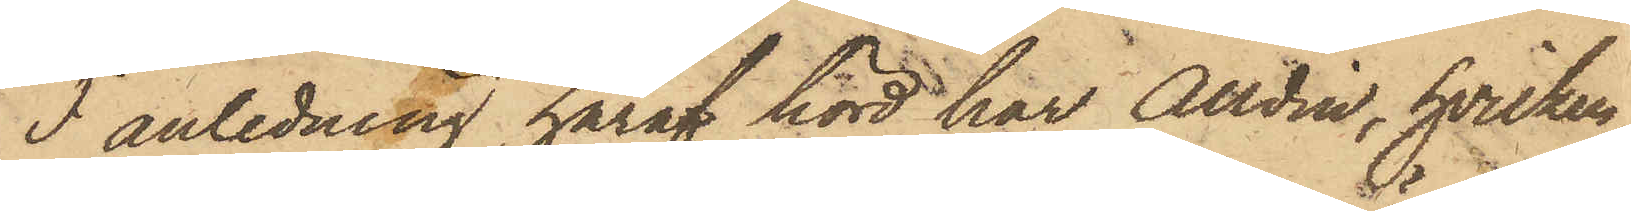I anledning häraf hörd, har Alldin, hvilken
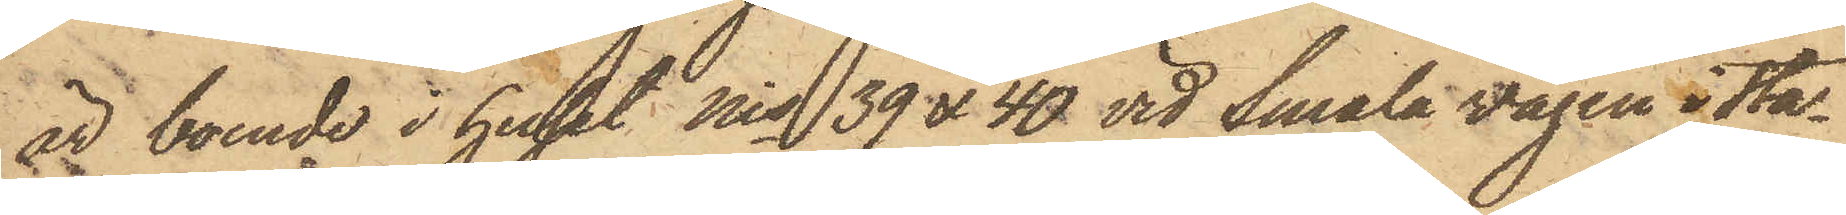är boende i huset Nis 39 & 40 vid Smala vägen i Sta¬
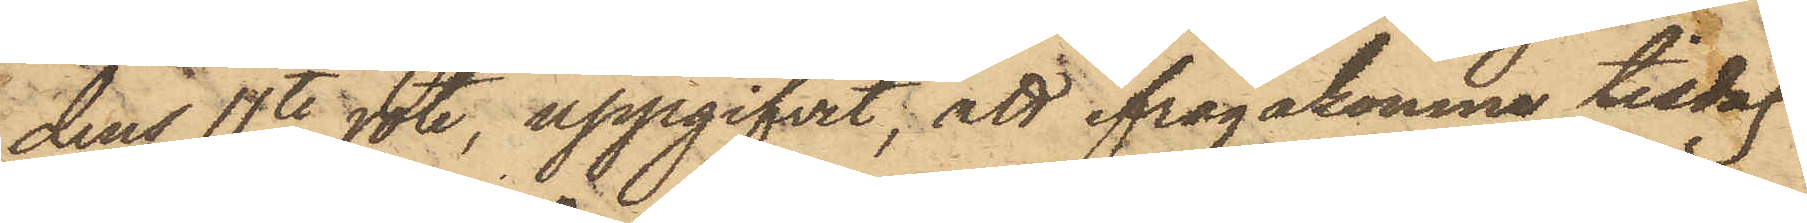dens 11te rote, uppgifvit; att ifrågakomne tisdag
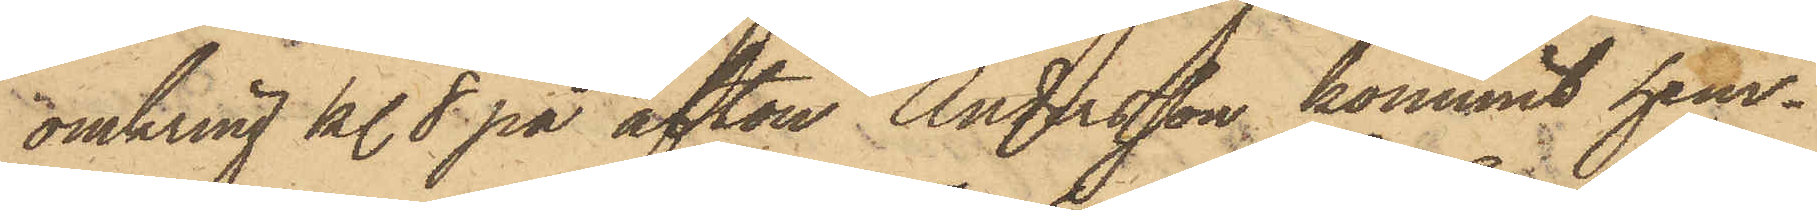omkring kl. 8 på afton Andersson kommit hem¬
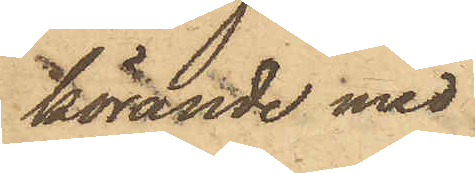körande med
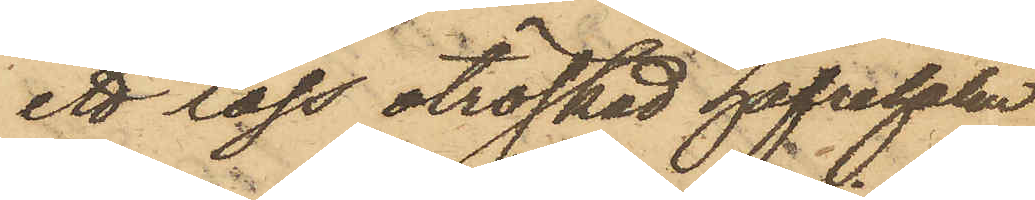ett lass otröskad hafrehalm,
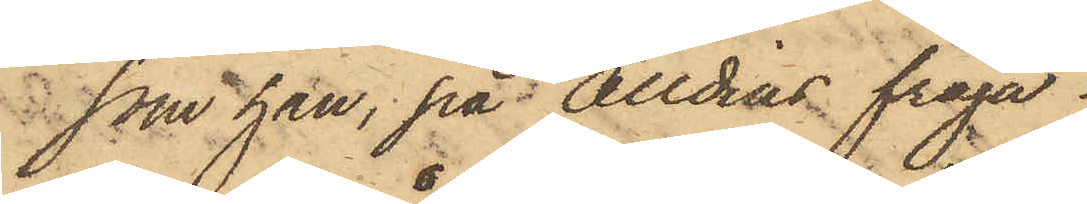som han, på Alldins fråga
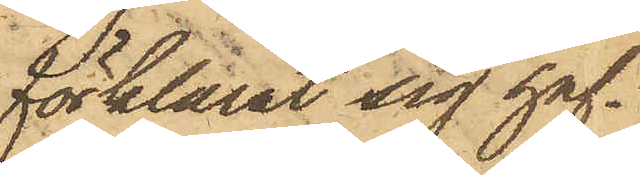förklarat sig haf¬
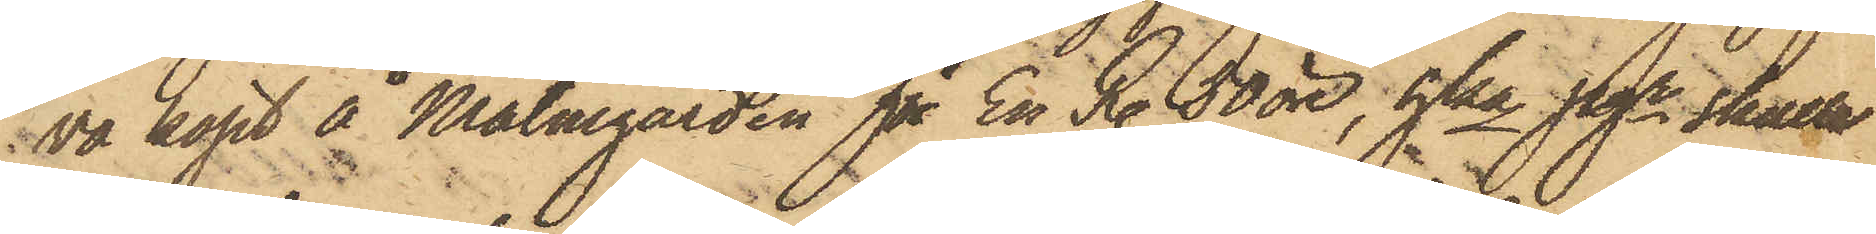va köpt å Malmgården för En R. 50 öre, hka pgr skulle
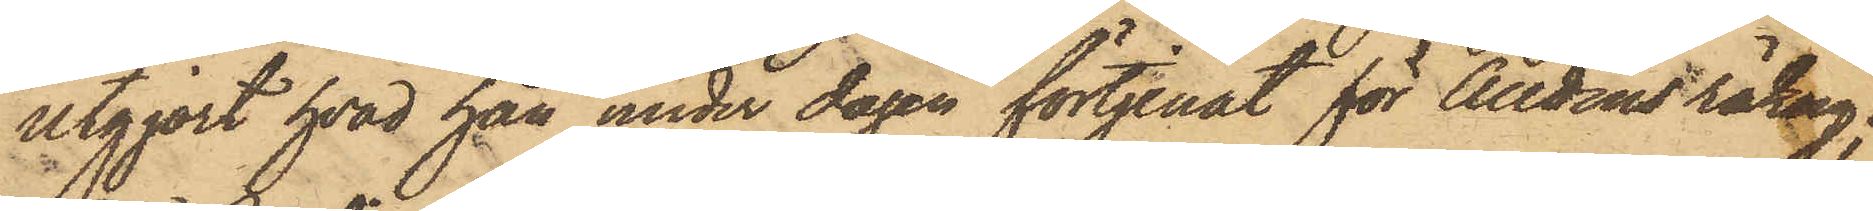utgjort, hvad han under dagen förtjänat för Alldins räkng;
